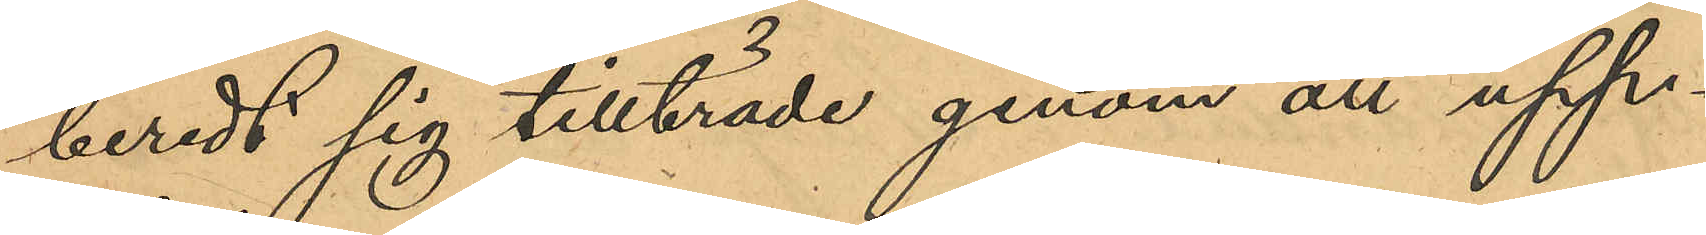beredt sig tillträde genom att upp¬
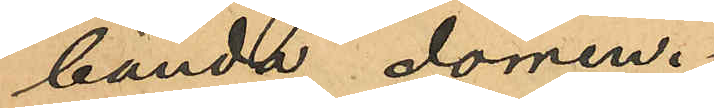bända dörren.
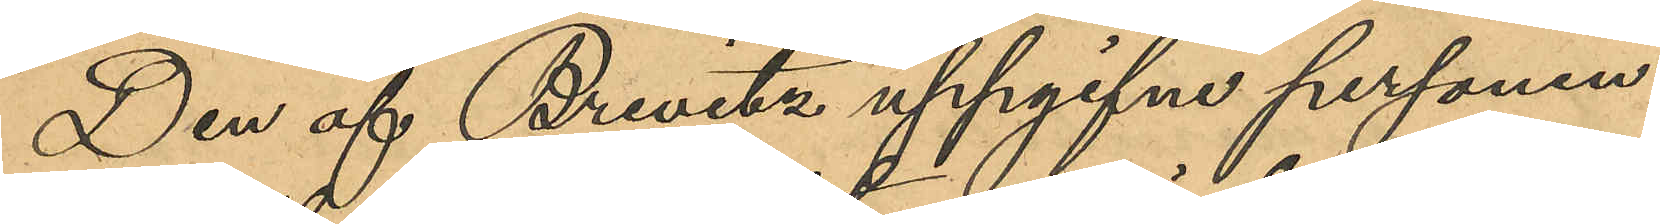Den af Brevitz uppgifne personen
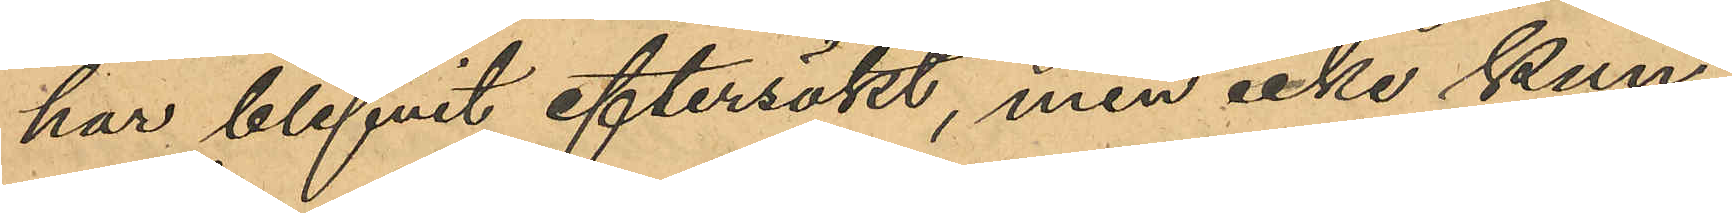har blifvit eftersökt, men icke kun¬
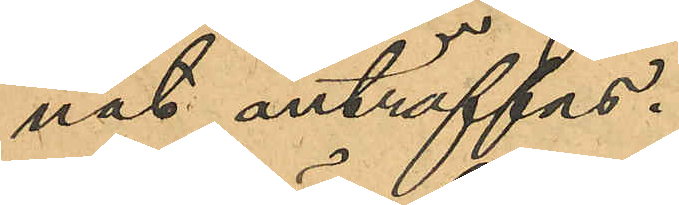nat anträffas.
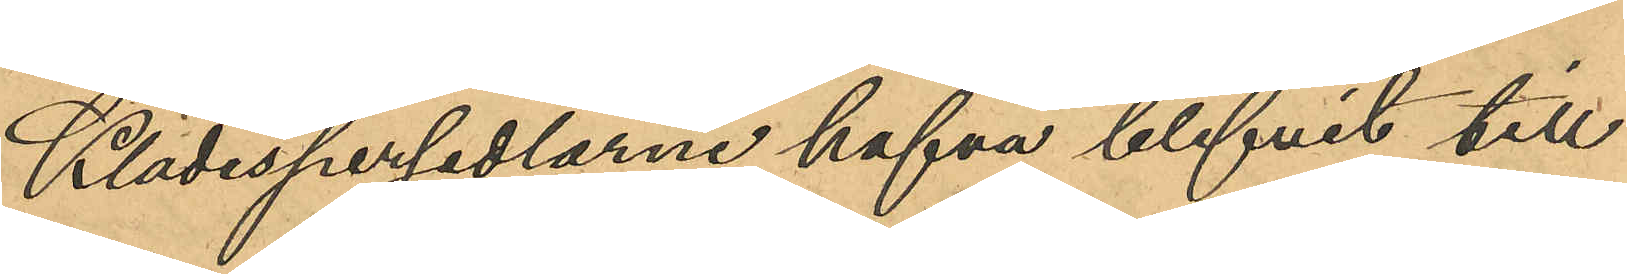Klädespersedlarne hafva blifvit till
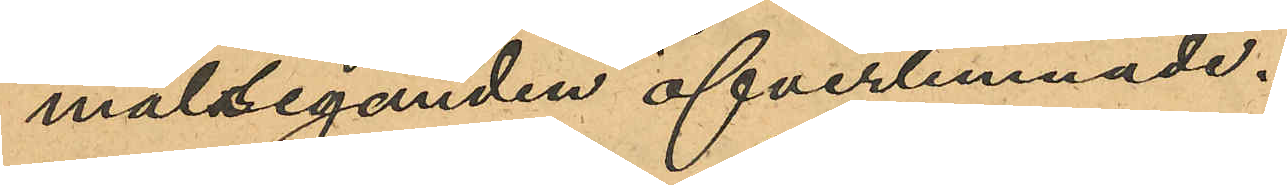målseganden öfverlemnade.
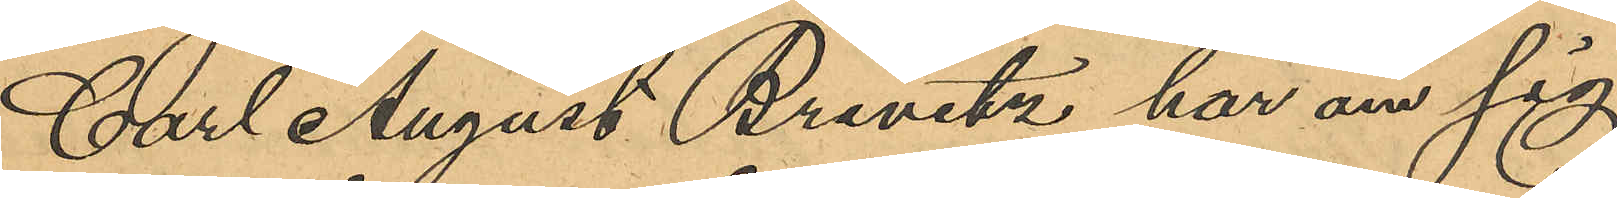Carl August Brevitz har om sig
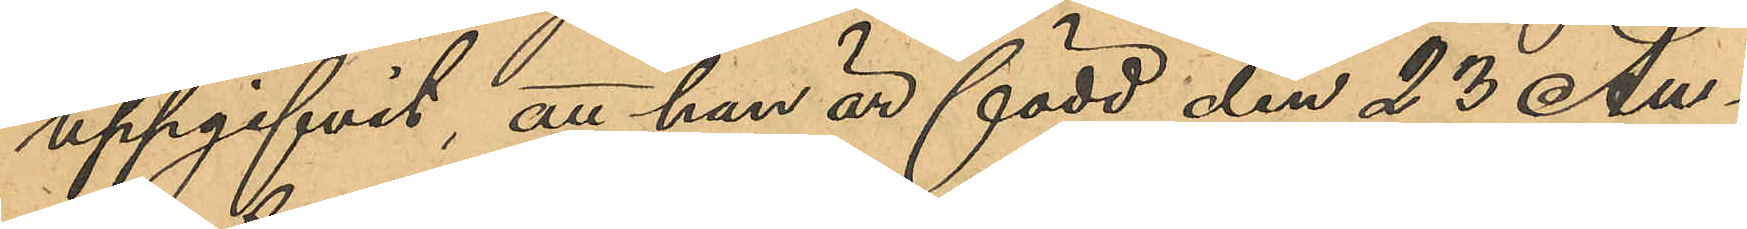uppgifvit, att han är född den 23 Au¬
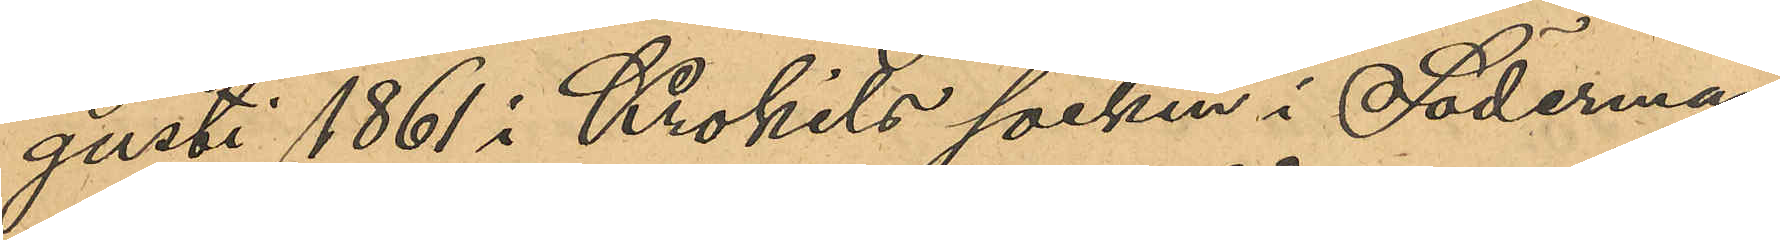gusti 1861 i Krokils socken i Söderman¬
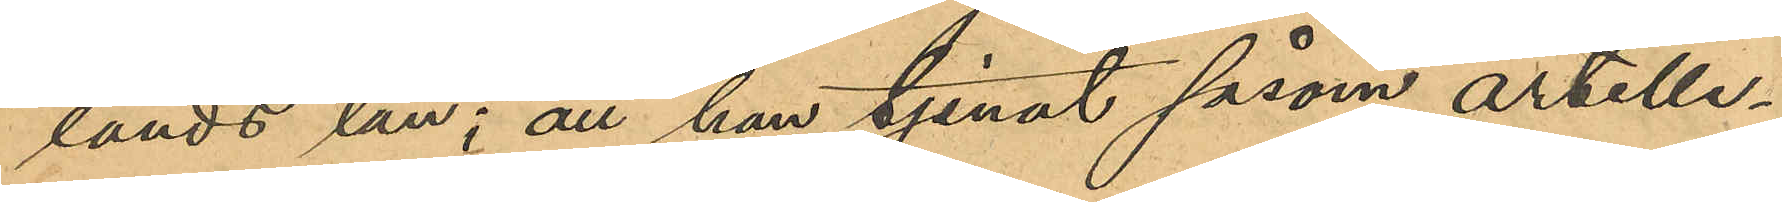lands län; att han tjenat såsom artille¬
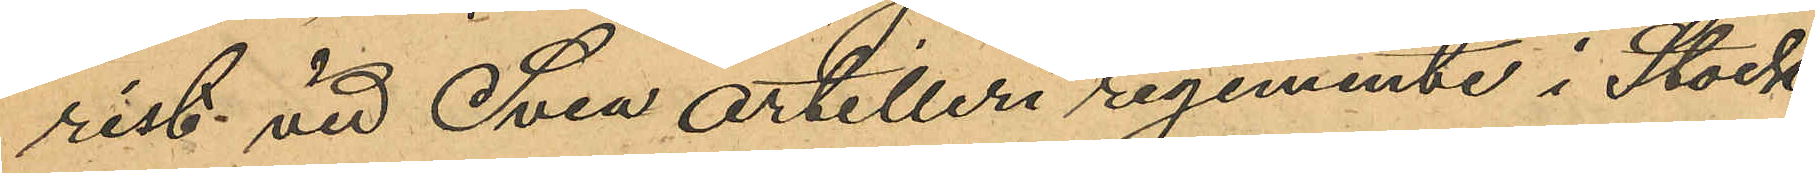rist vid Svea artilleri regemente i Stock¬
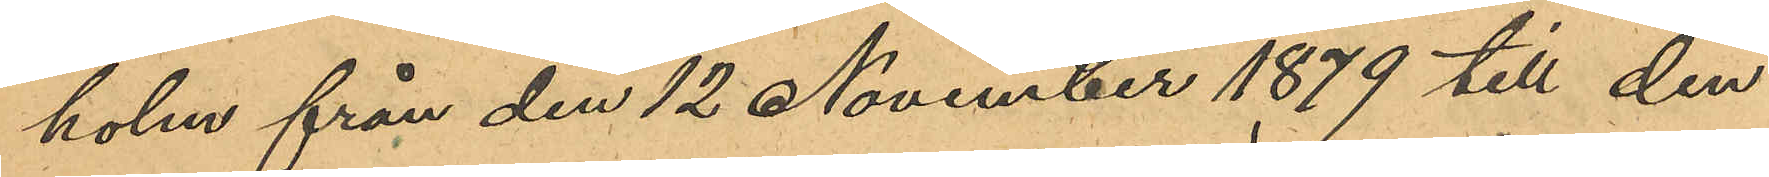holm från den 12 November 1879 till den
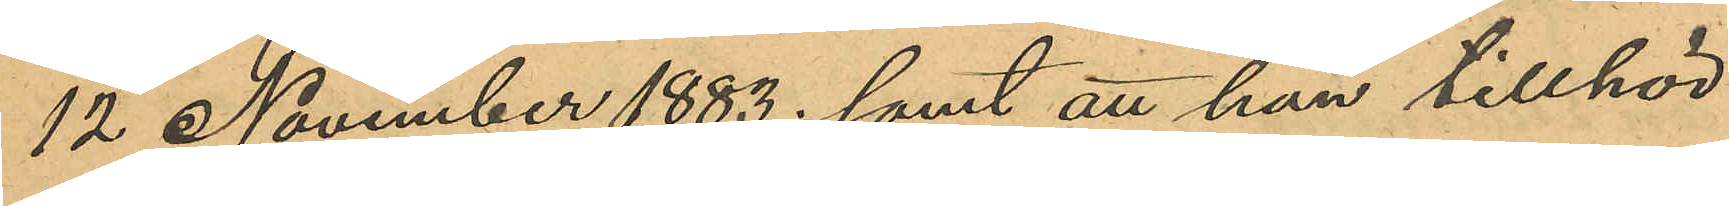12 November 1883; samt att han tillhör
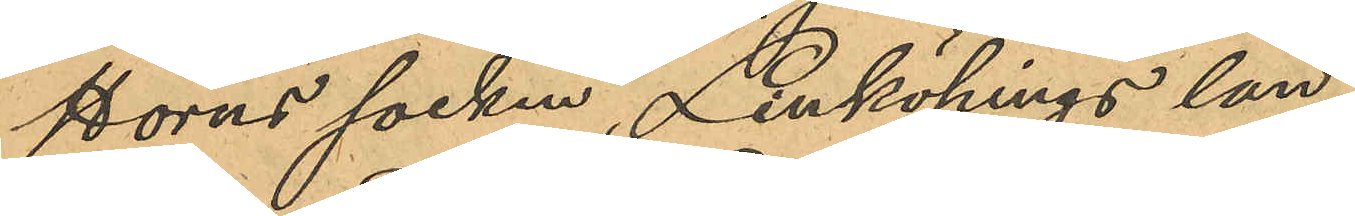Horns socken, Linköpings län.
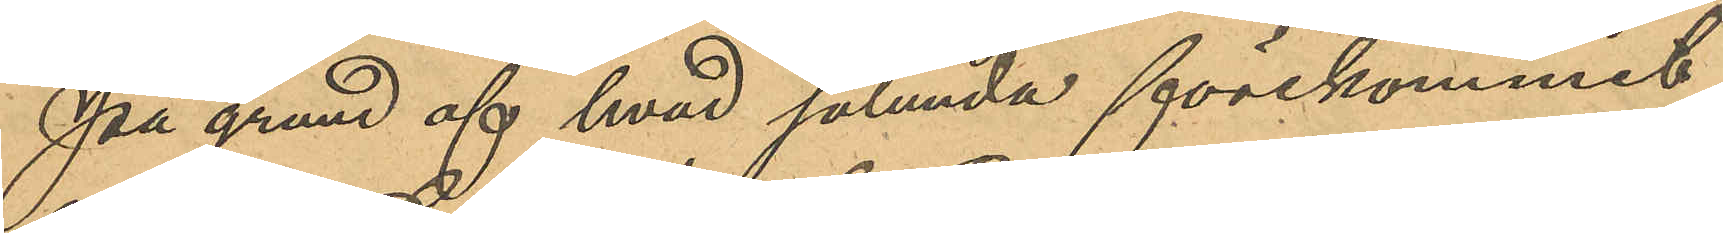På grund af hvad sålunda förekommit
